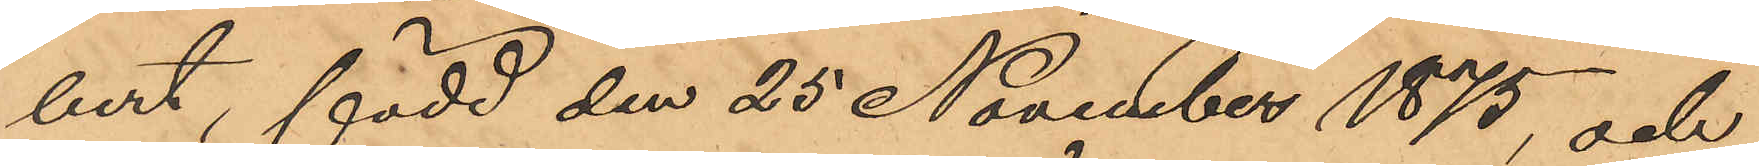bert, född den 25 November 1875 och
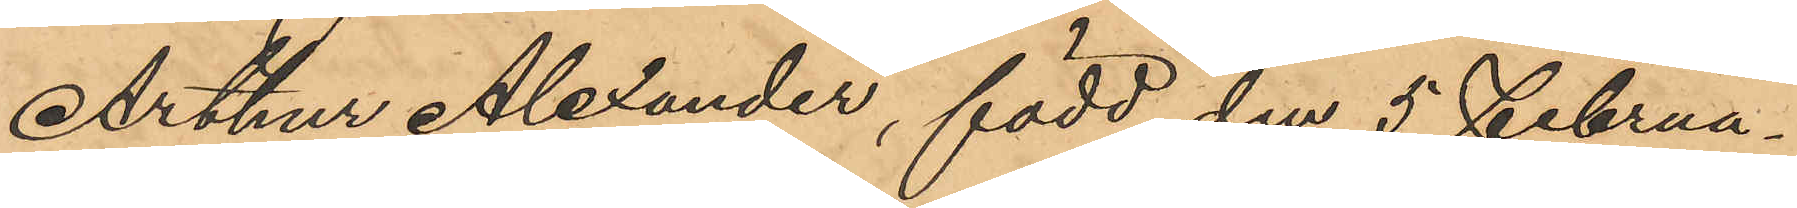Arthur Alexander, född den 5 Februa¬
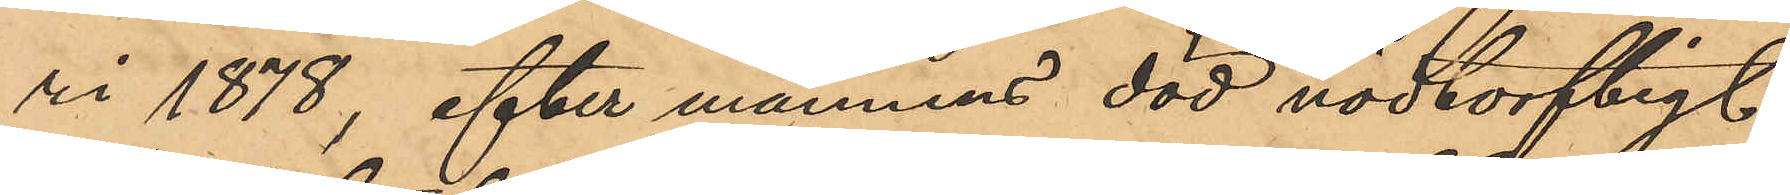ri 1878, efter mannens död nödtorftigt
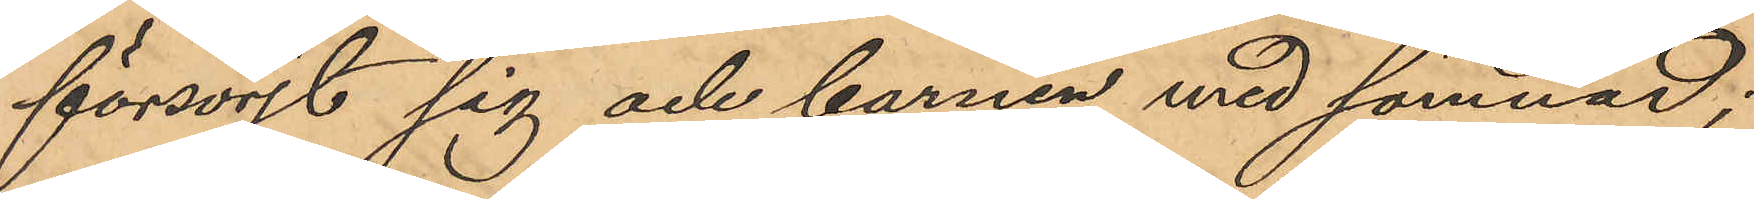försörjt sig och barnen med sömnad;
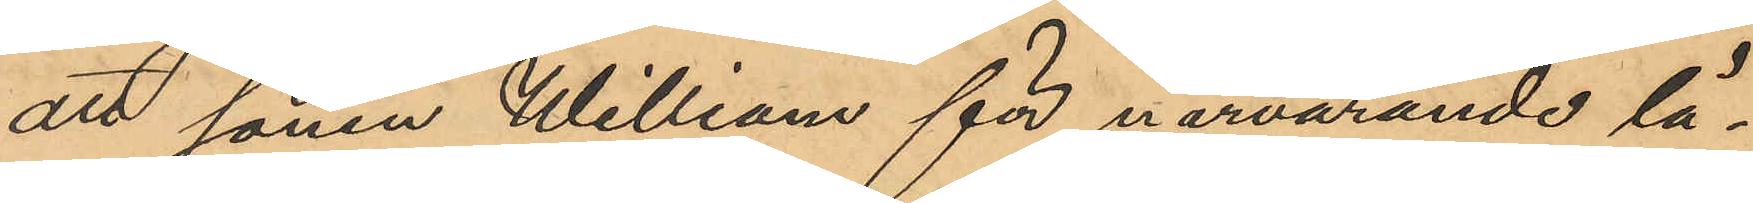att sonen William för närvarande lä¬
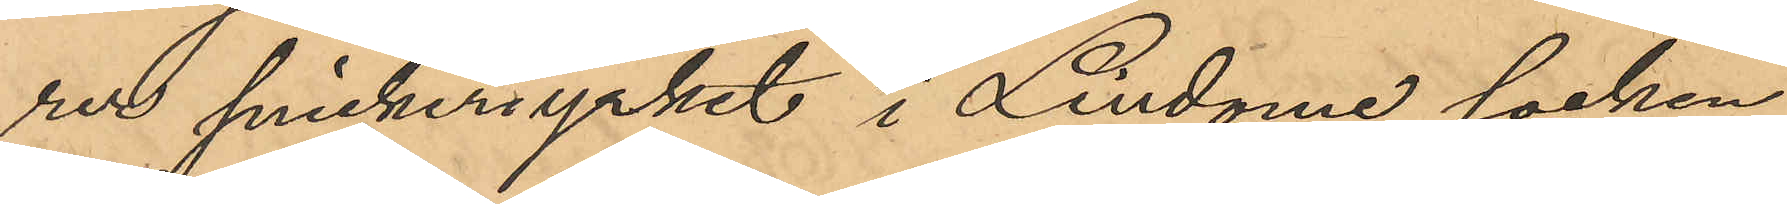rer snickeriyrket i Lindome socken
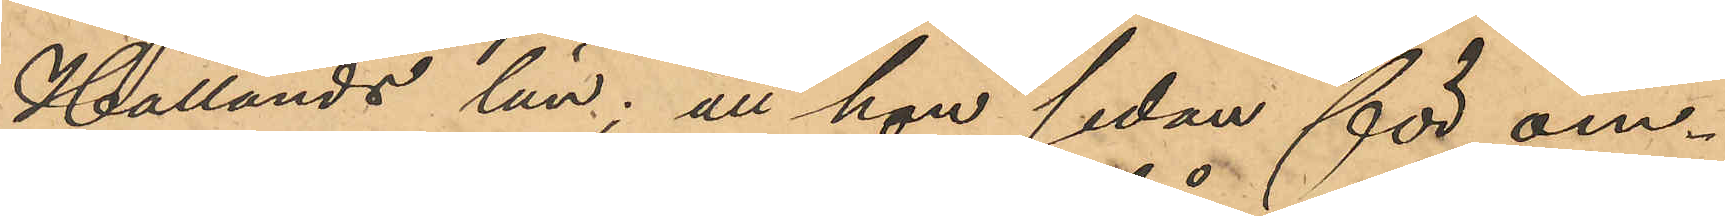Hallands län; att hon sedan för om¬
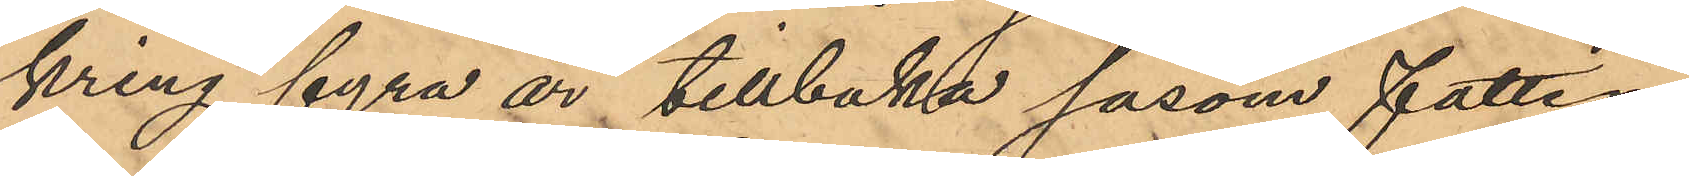kring fyra år tillbaka såsom fattig¬
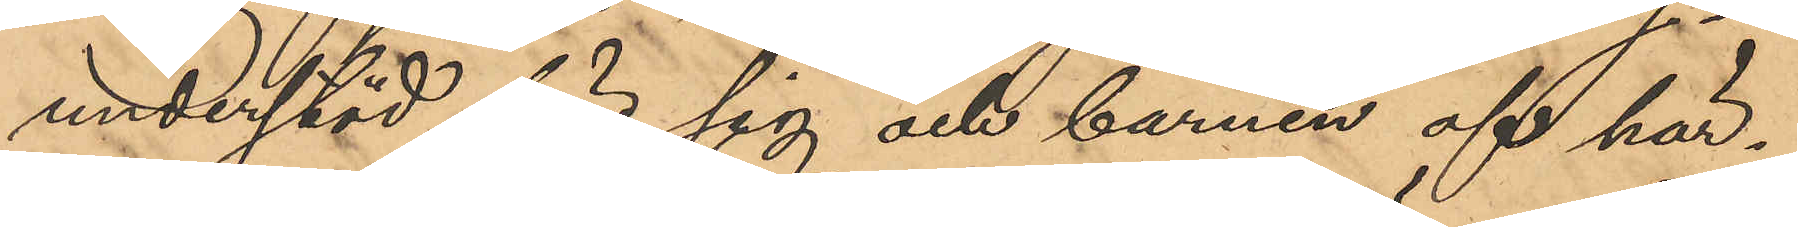understöd för sig och barnen af här¬
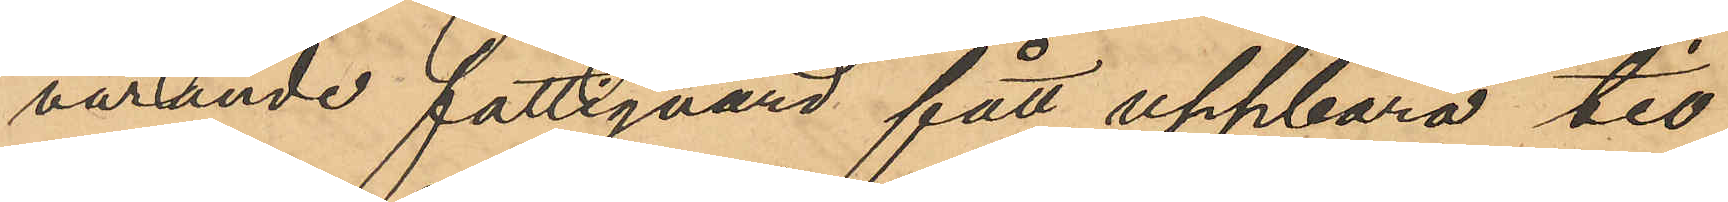varande fattigvård fått uppbära tio
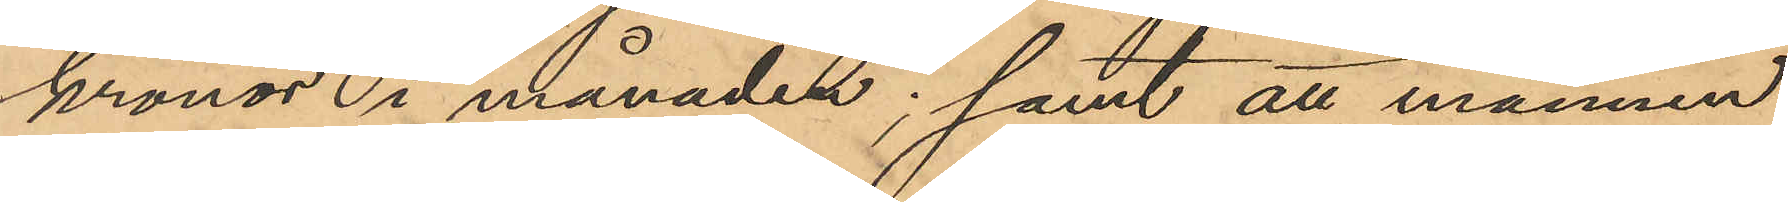kronor i månaden; samt att mannen
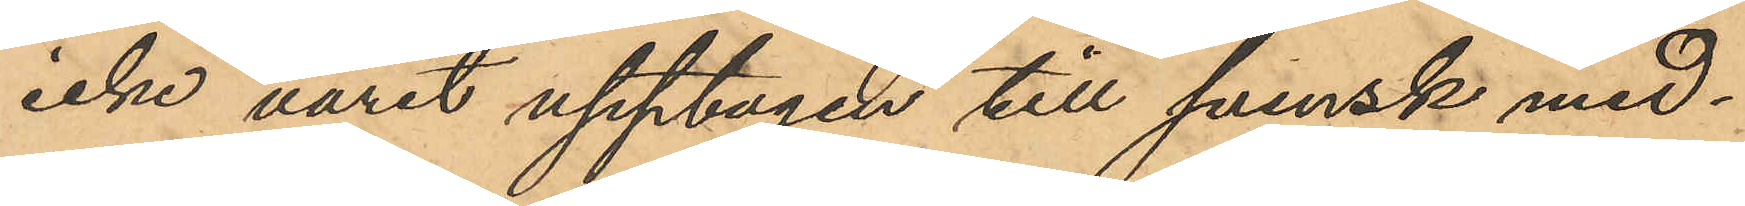icke varit upptagen till svensk med¬
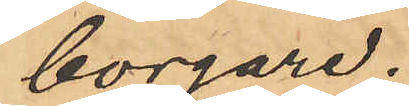borgare;
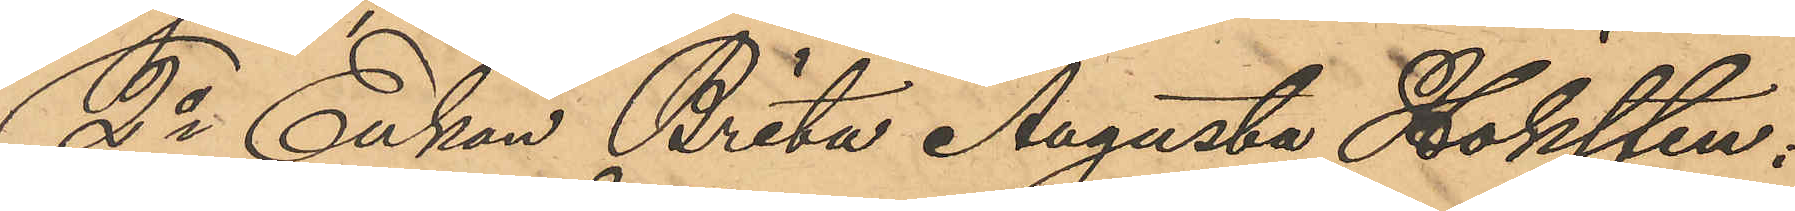2o Enkan Brita Augusta Höksten:
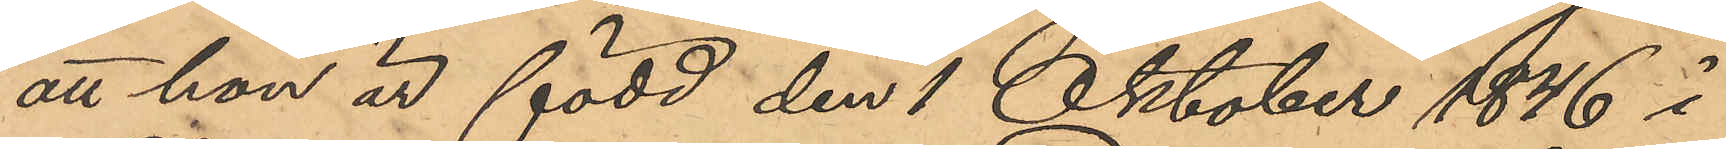att hon är född den 1 Oktober 1846 i
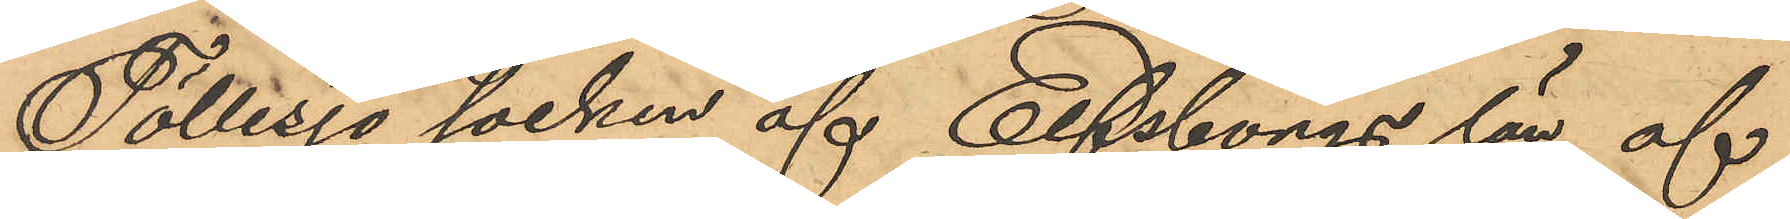Töllesjö socken af Elfsborgs län af
